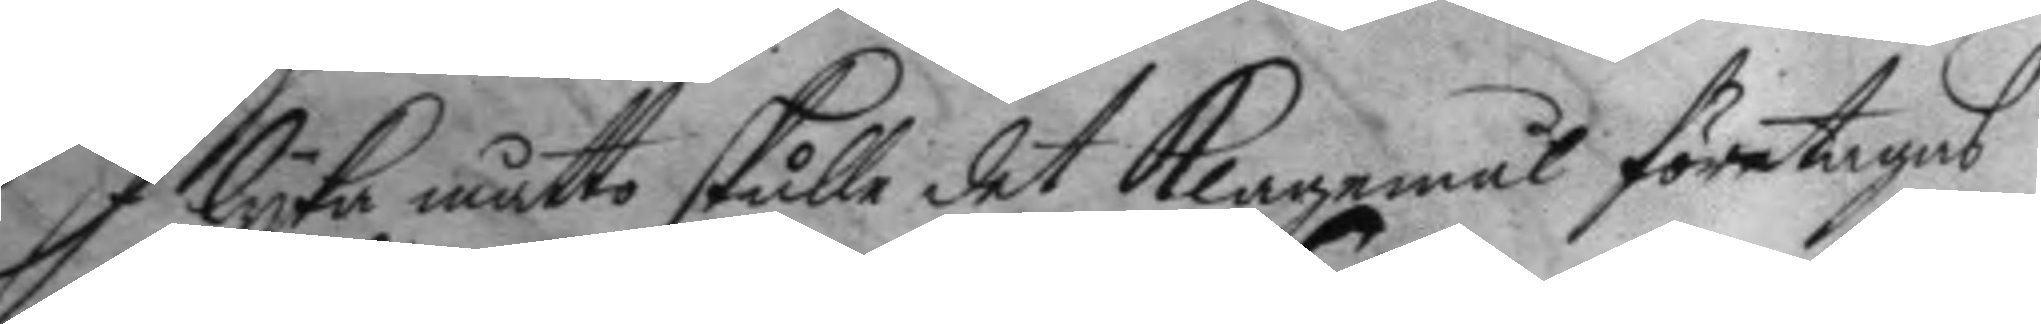I lyka måtto skulle det Klagemål företagas
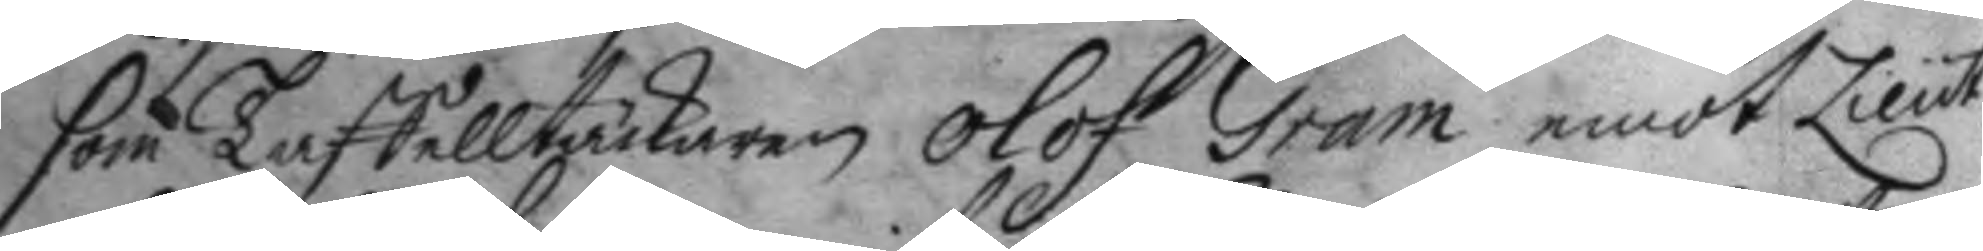som Taffelltäckaren, Olof Gram emot Lieut.
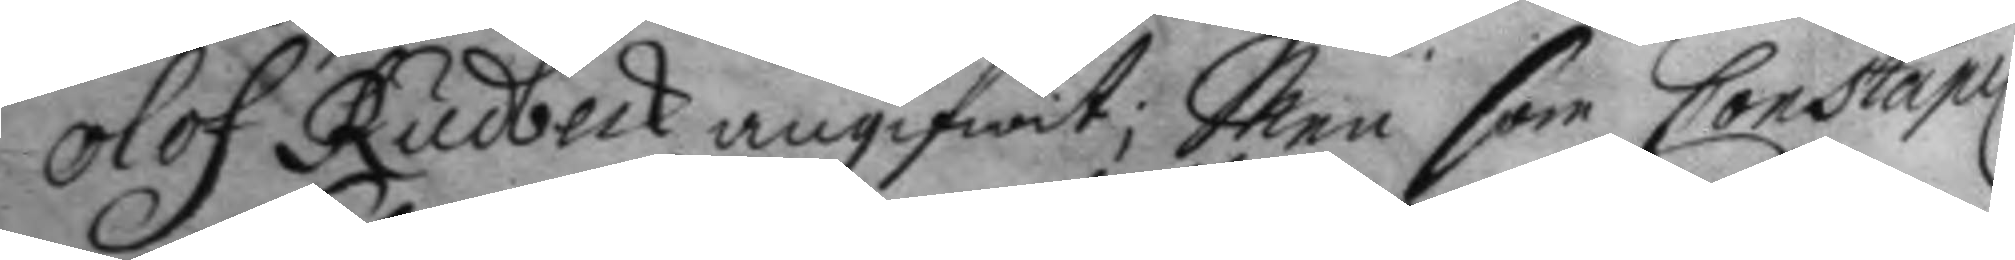Olof Rudbeck angifwit; Men som Constapel
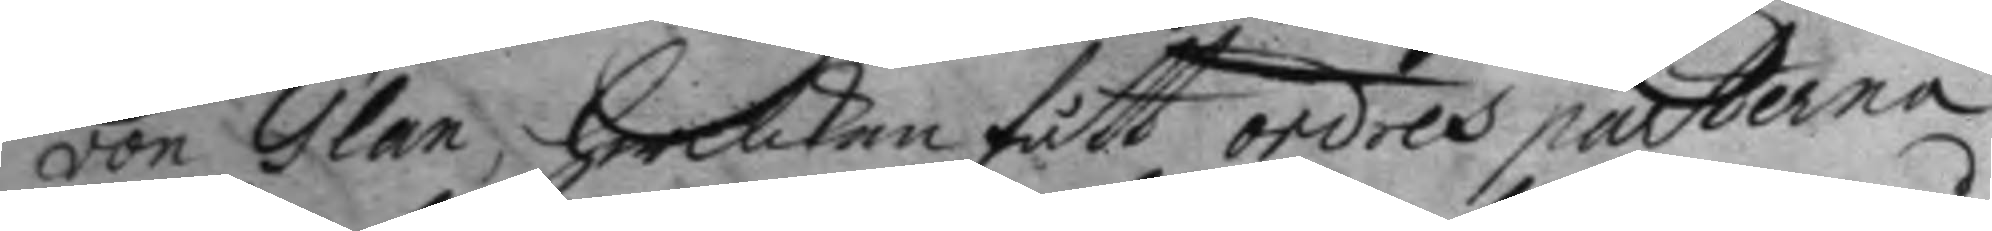von Glan, hwilcken fått ordres parterna
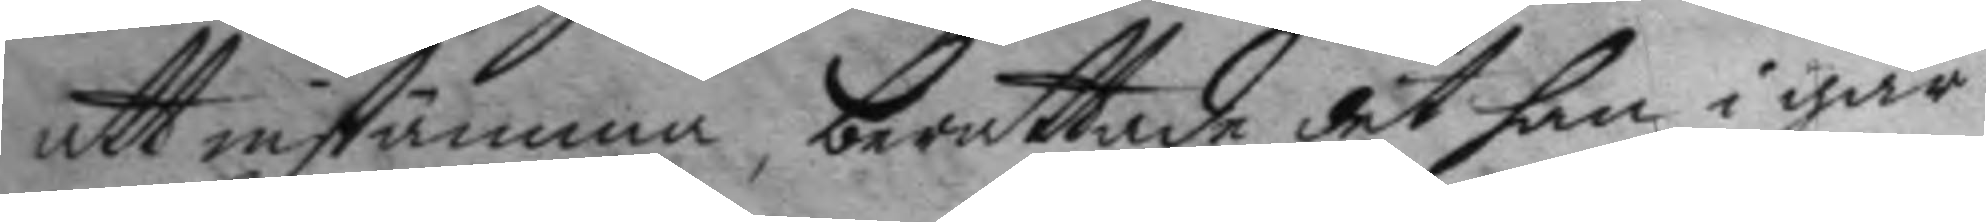att instämma, berättade det han i går
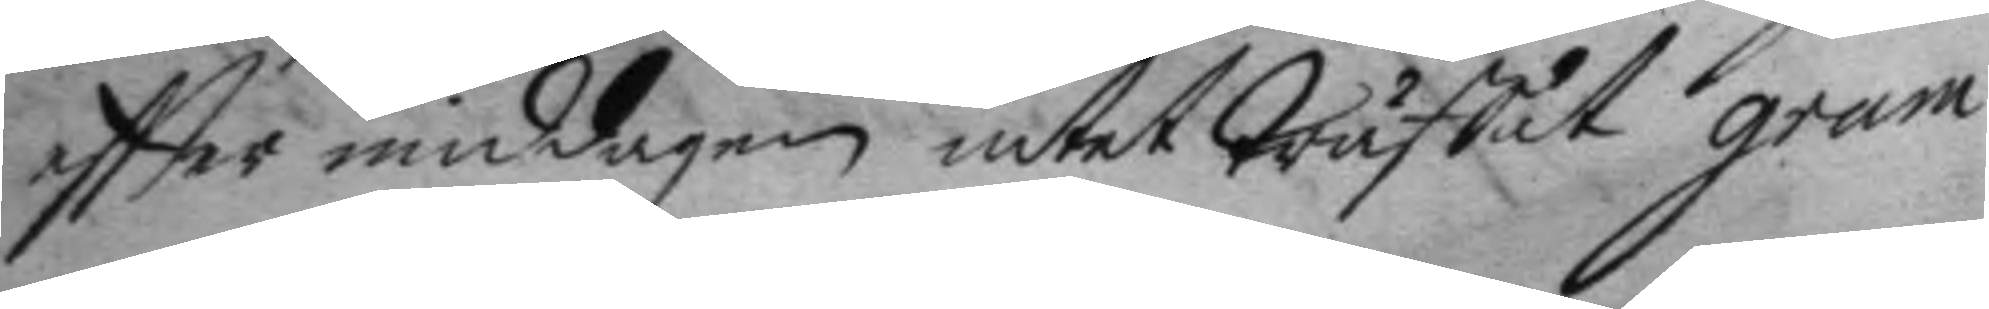eftter middagen intet träffat gram
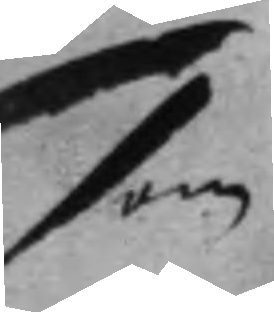som
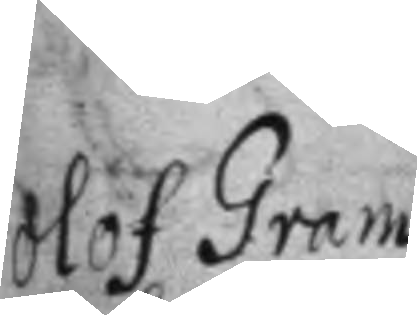Olof Gram
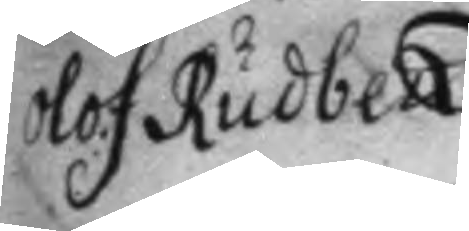Olof Rudbeck.
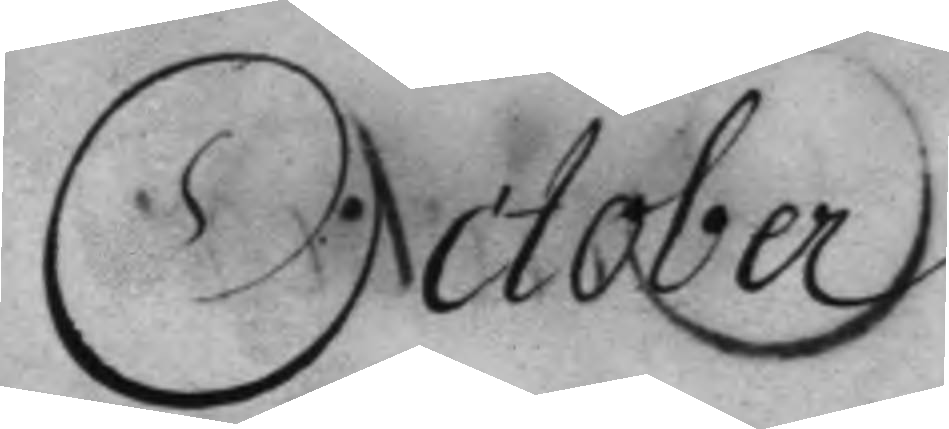October.
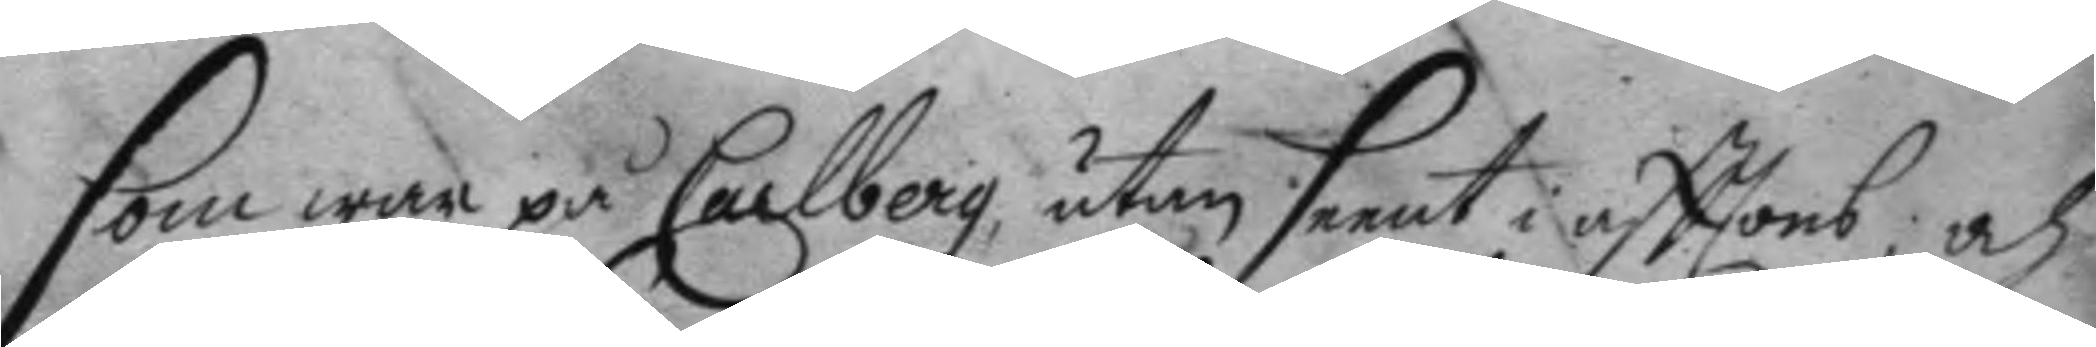som war på Carlberg, utan seent i afttons; och
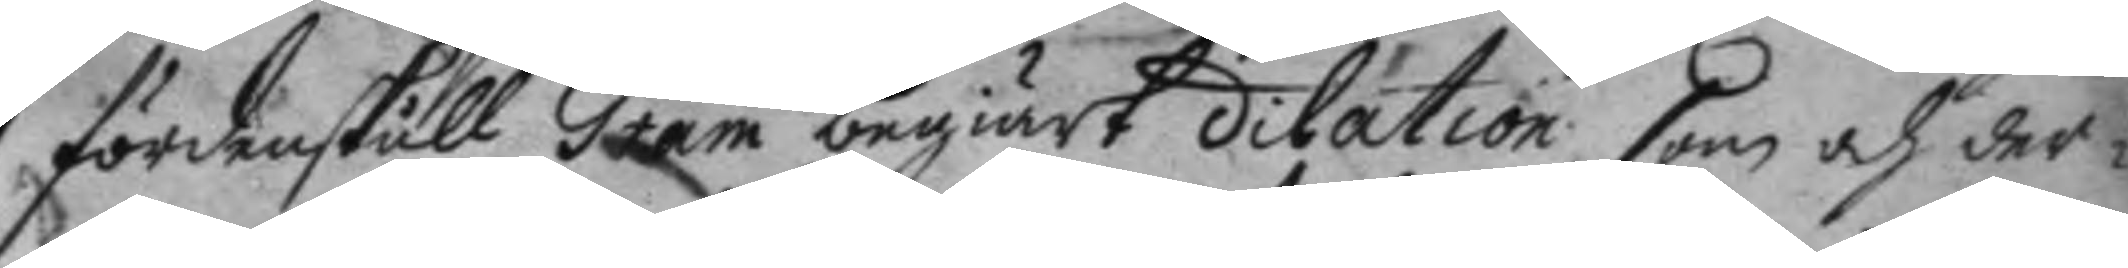fördenskull Grem begiärt dilation, som och der¬
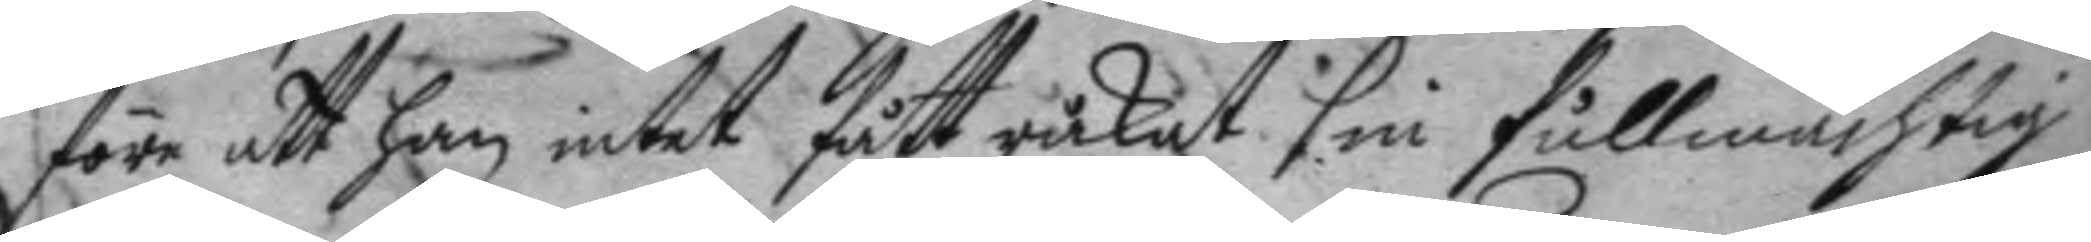före att han intet fått råkat sin fullmächtig,
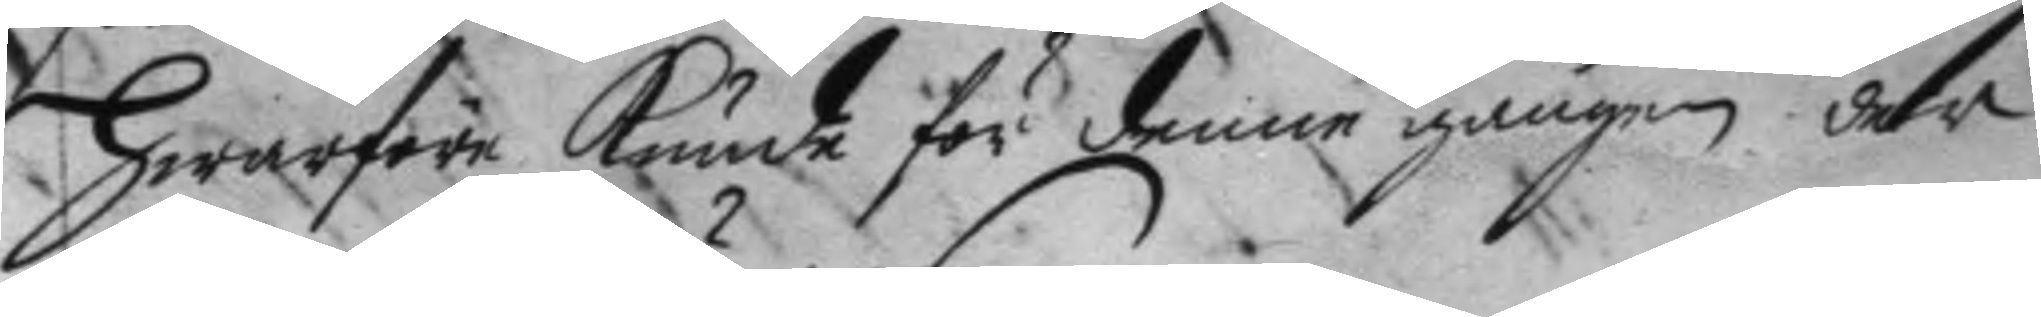Hwarföre Kunde för denne gången der
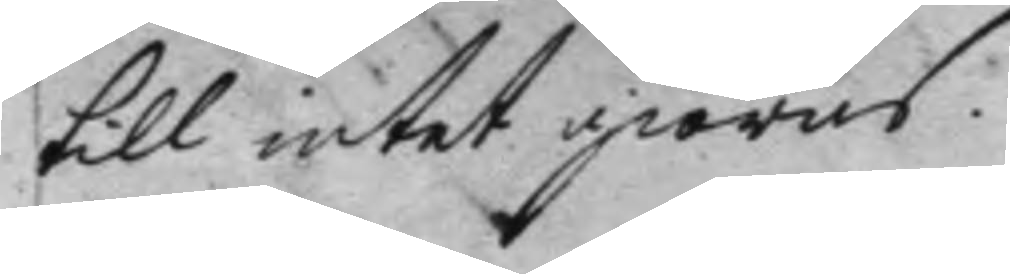till intet giöras.
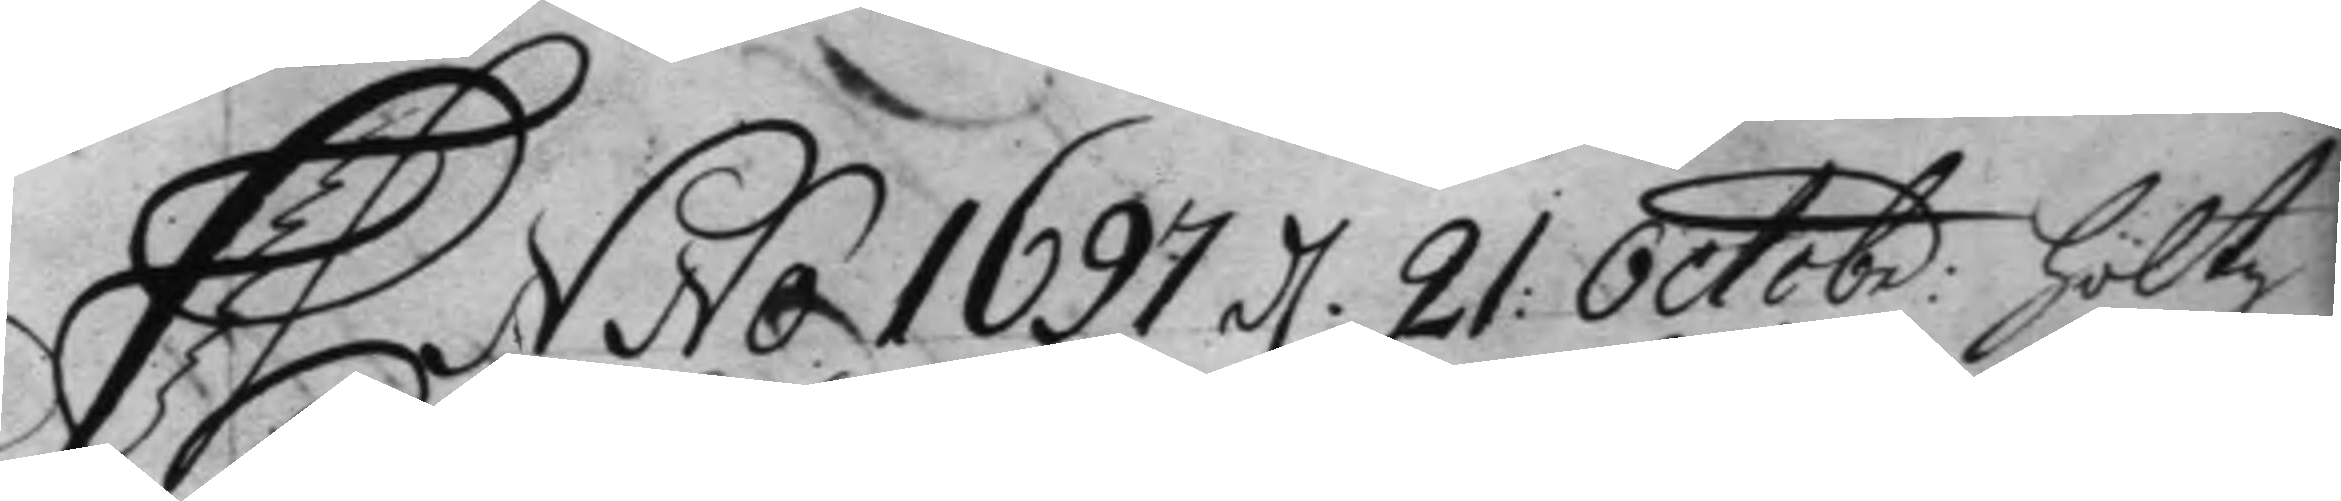Anno 1697 d 21 Octobr: Höltz 
